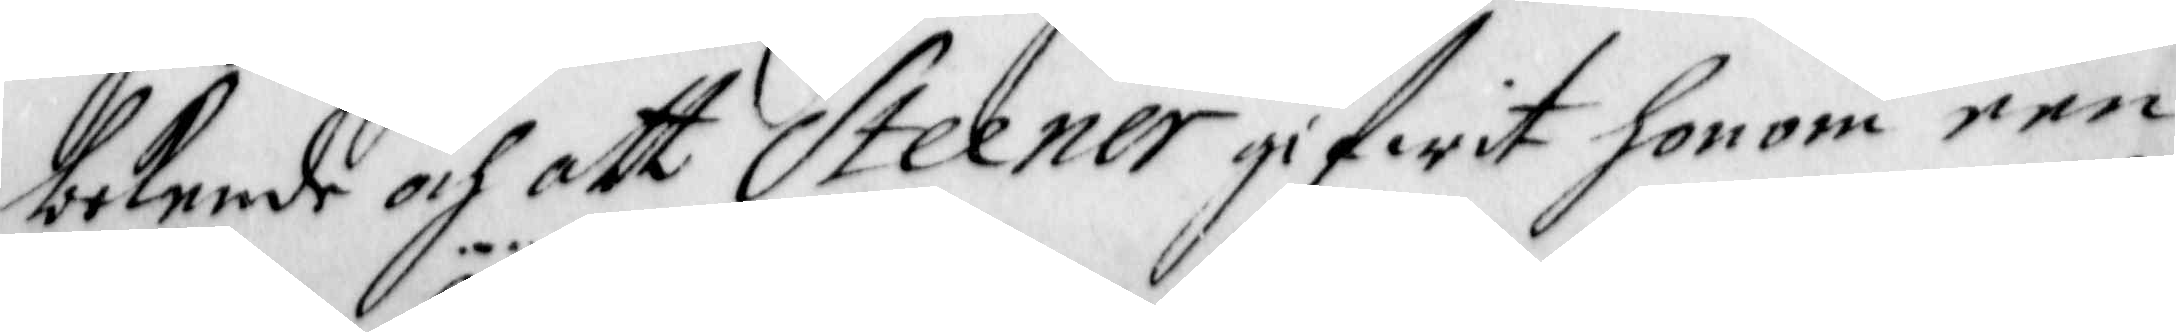bekende och att Steener gifwit honom een
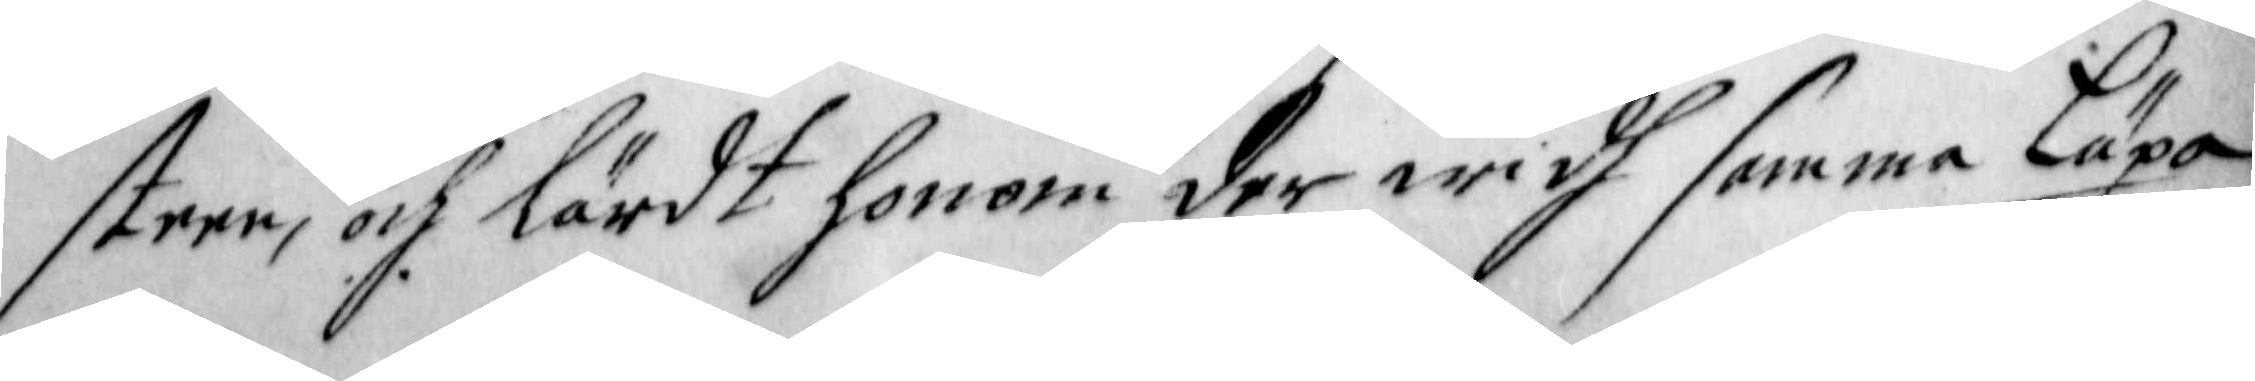steen, och lärdt honom derwidh samma Läxa
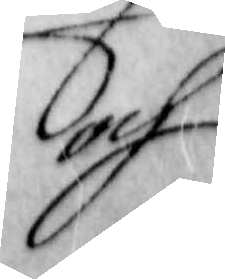och
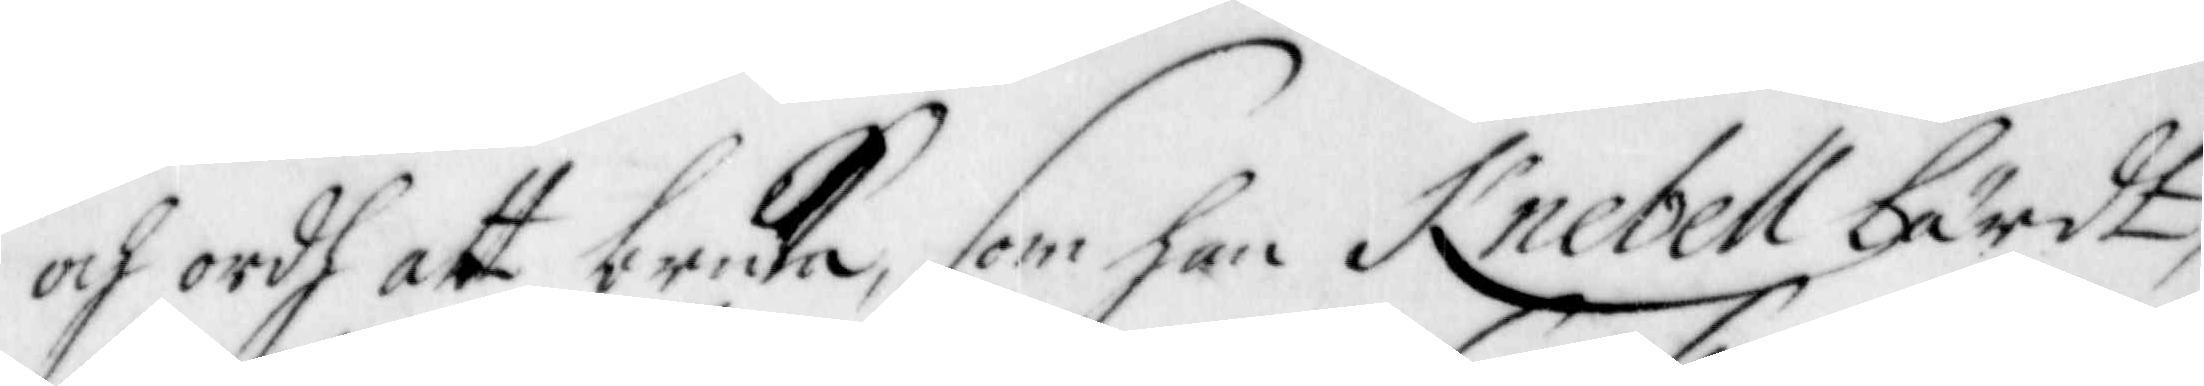och ordh att bruka, som han Knebell lärdt,
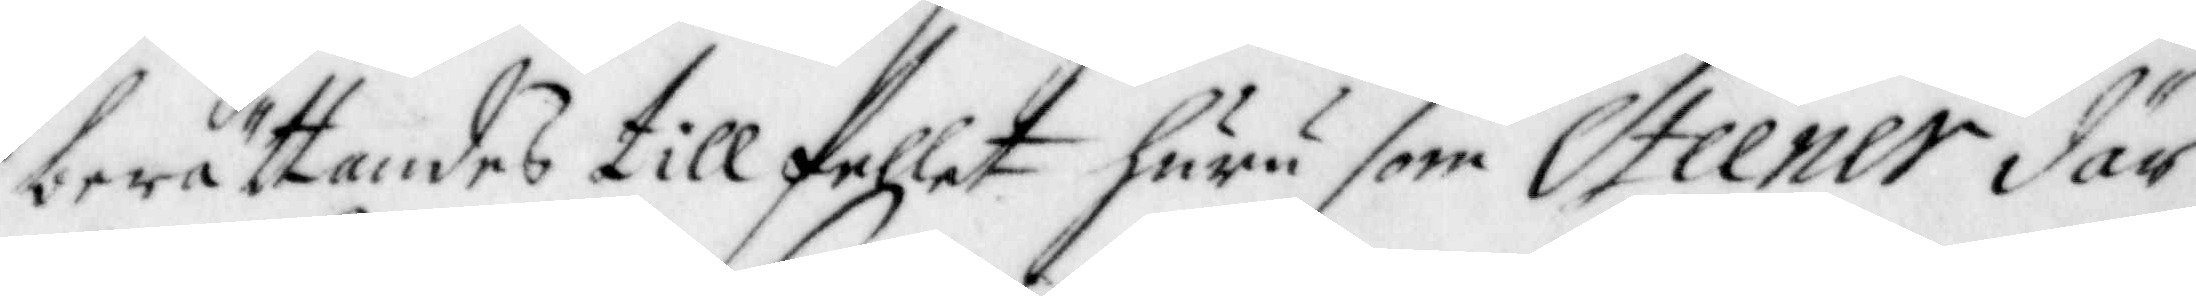berättandes tillfellet huru som Steener där
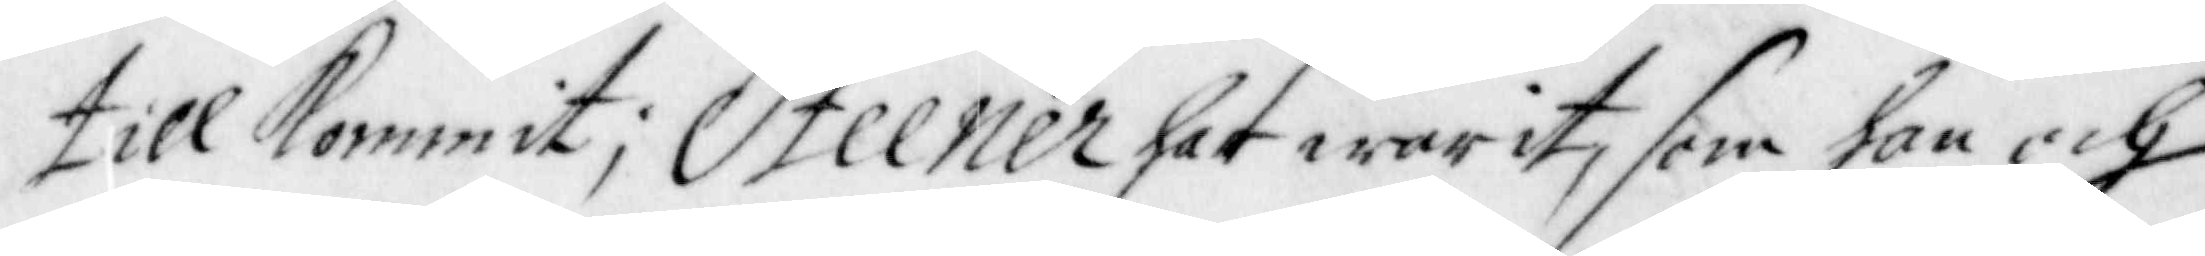tillkommit; Steener har warit, som han och
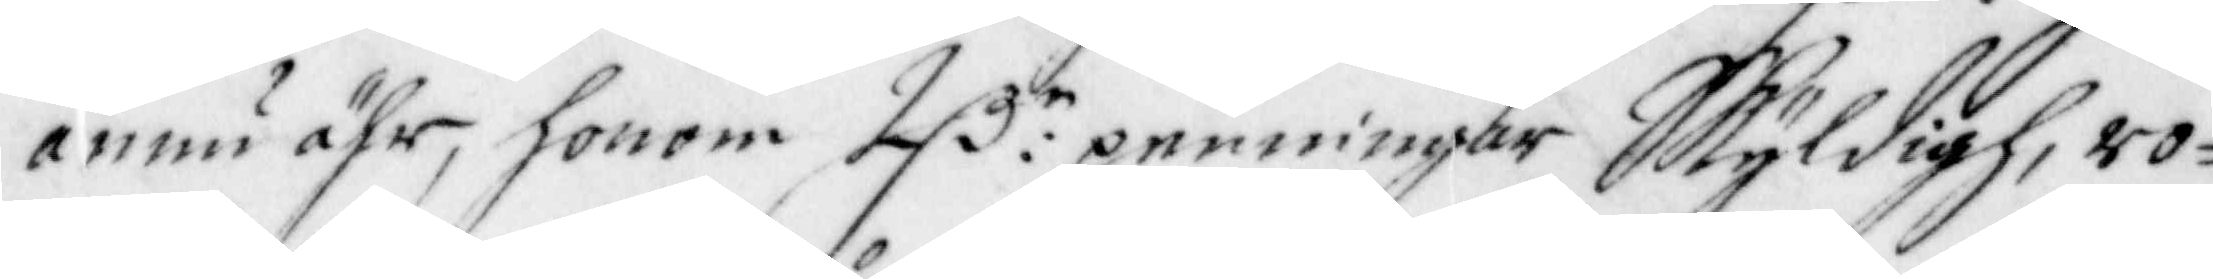ännu ähr, honom 2 D:r penningar Skyldigh, ro¬
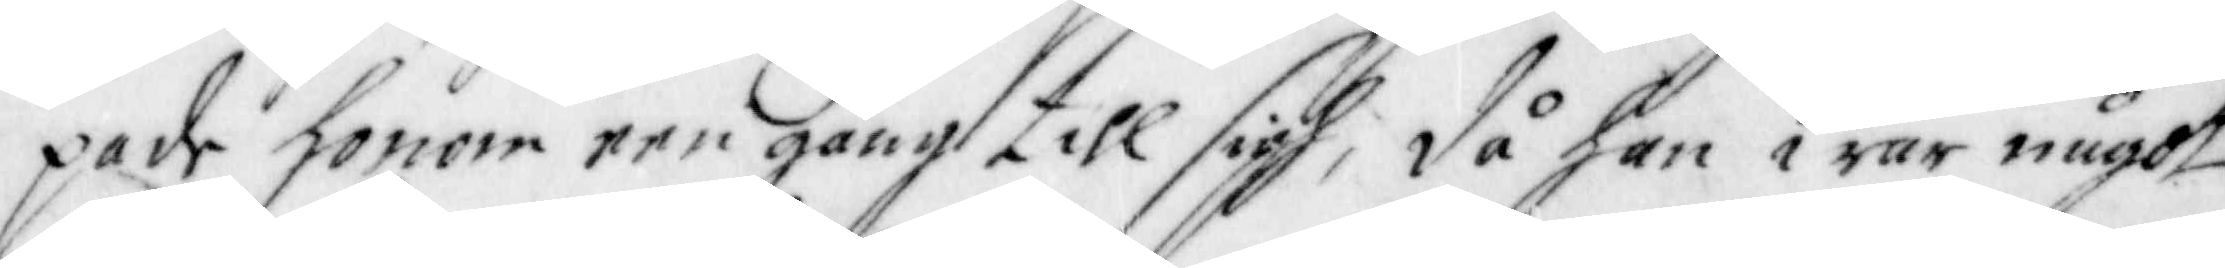pade honom een gång till sigh; då han war något
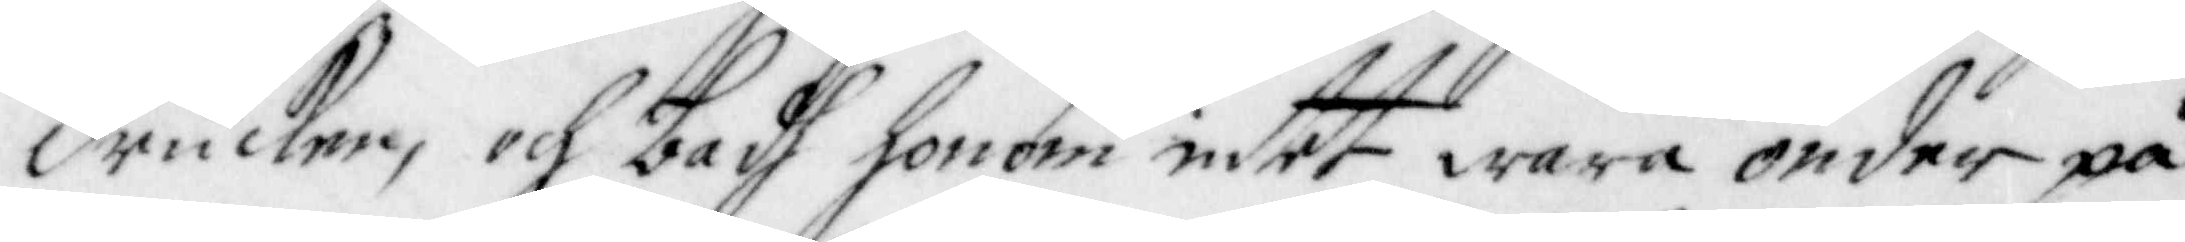drucken, och badh honom intet wara onder på
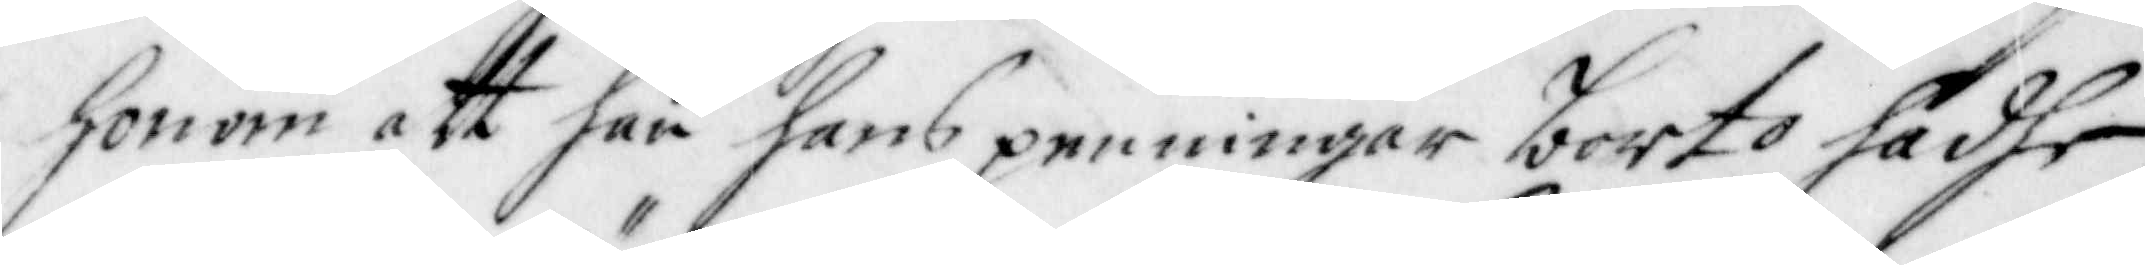honom att han hans penningar borto hadhe,
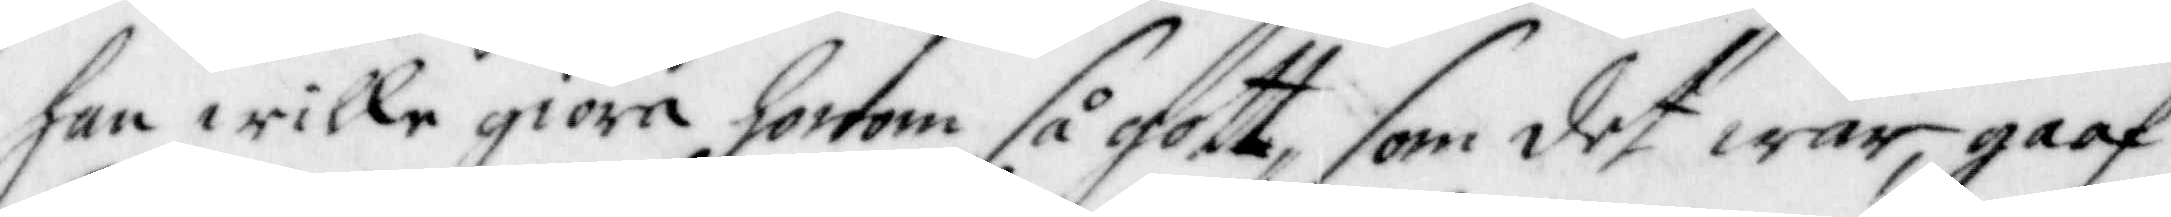han wille giöra honom så gott, som det war, gaaf
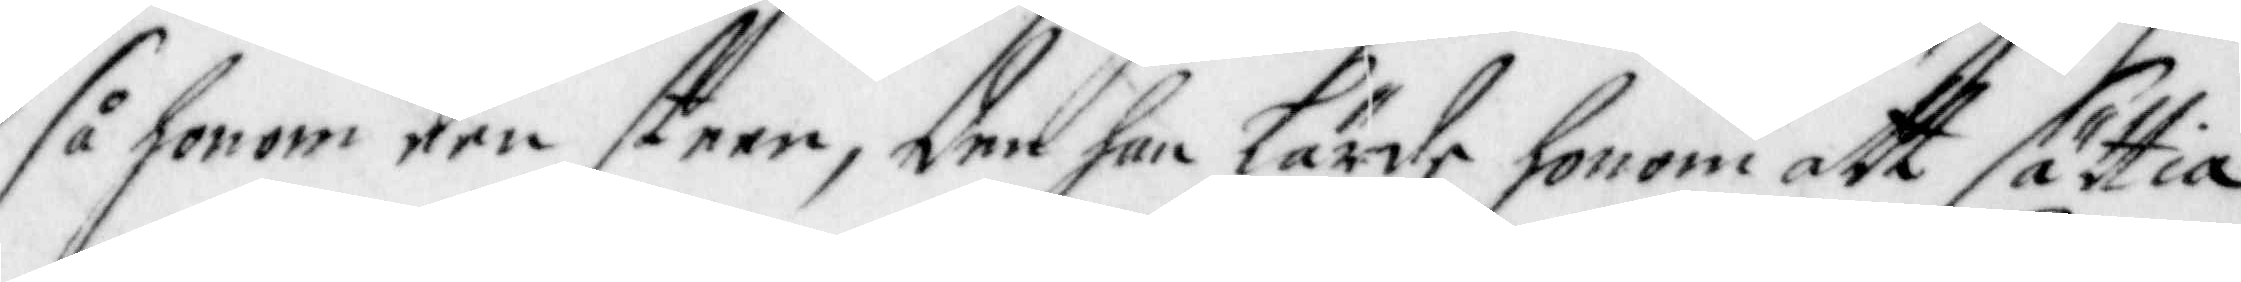så honom den steen, den han lärde honom att sättia
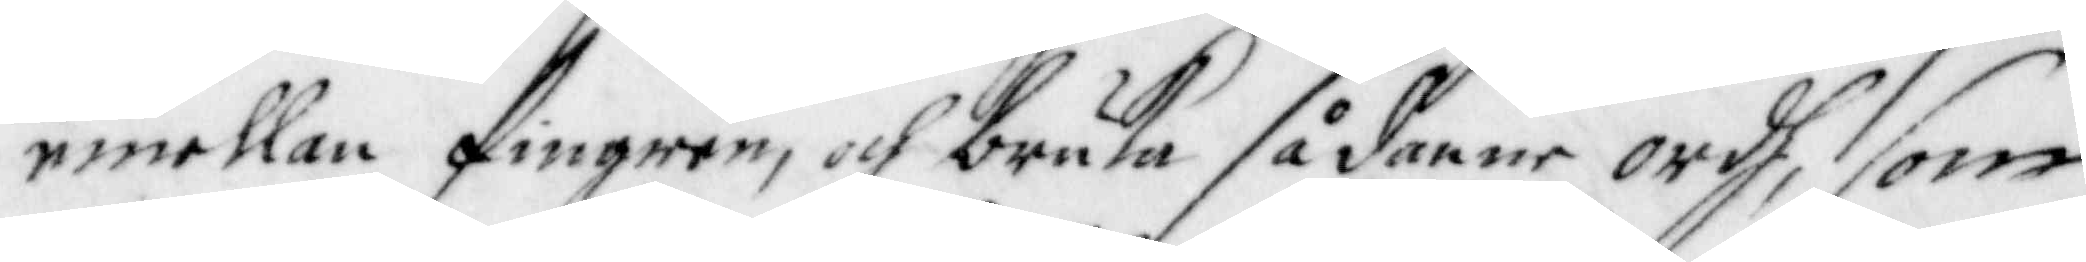emellan fingren, och bruka sådanne ordh, som
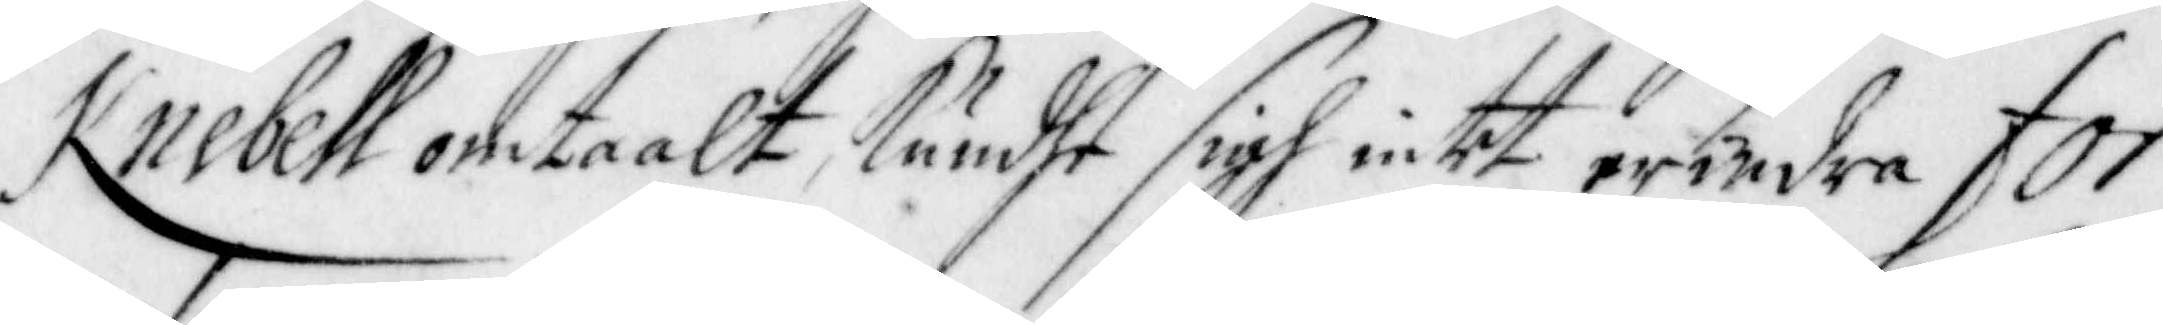Knebell omtaalt, kundhe sigh intet erindra for¬
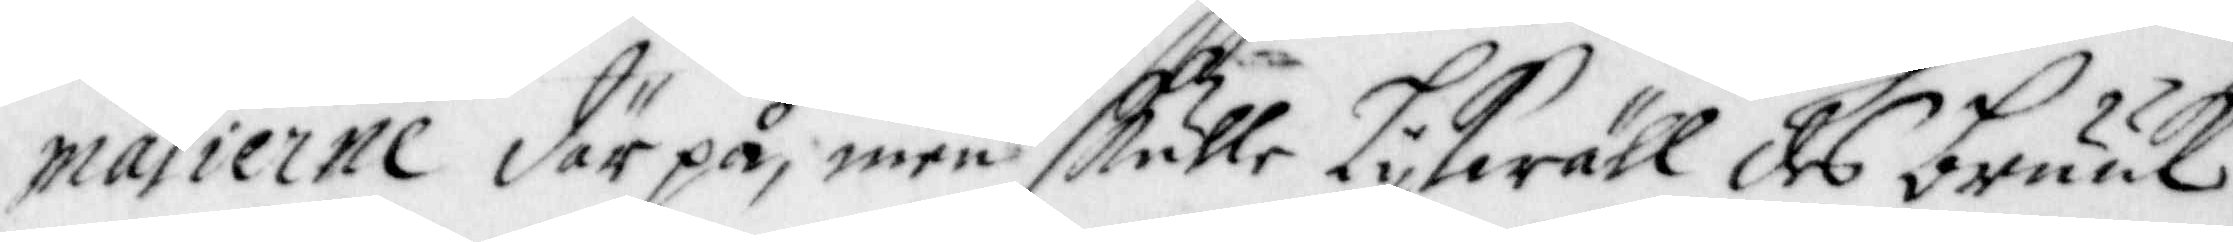malierne därpå, men skulle likwähl des bruuk
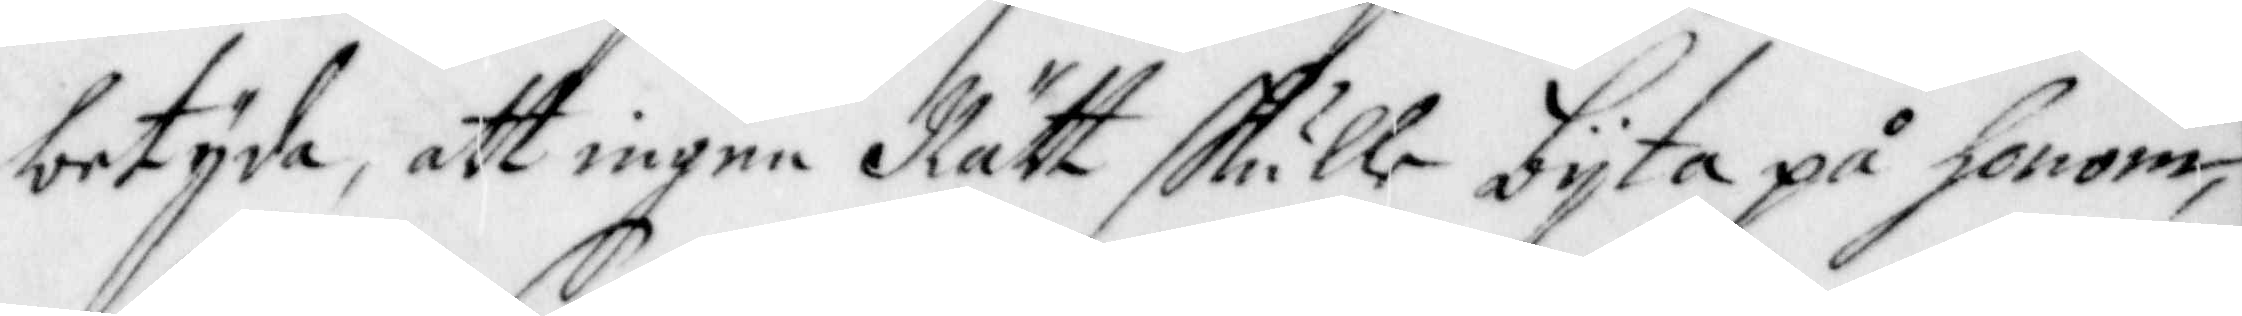betyda, att ingen Rätt skulle bijta på honom,
